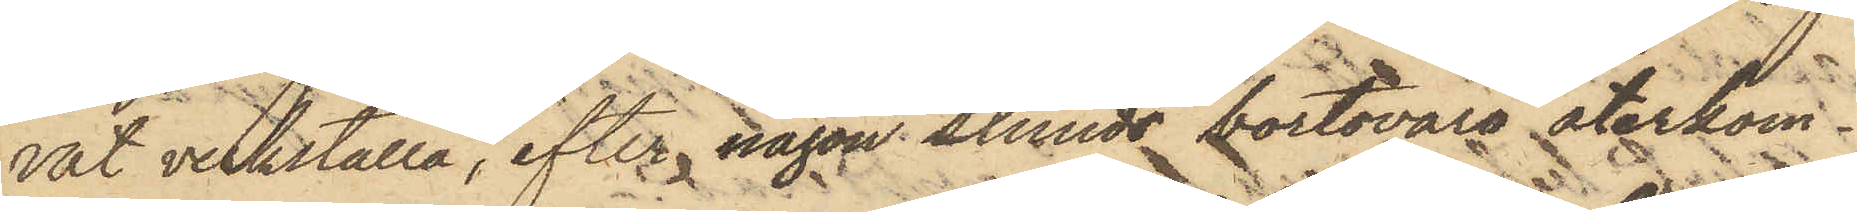vat verkställa, efter någon stunds bortovaro återkom¬
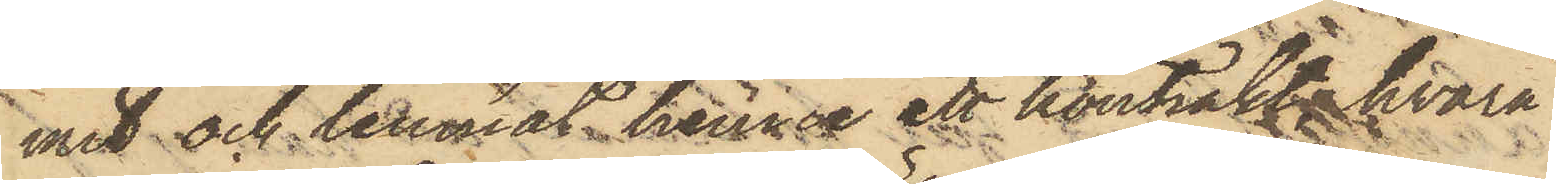mit och lemnat henne ett kontrakt hvarå
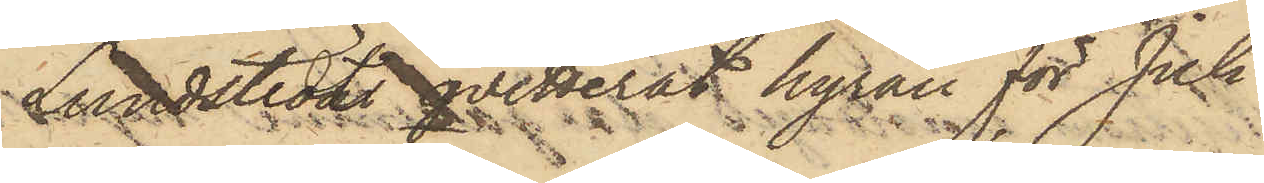Lundstedt qvitterat hyran för Juli
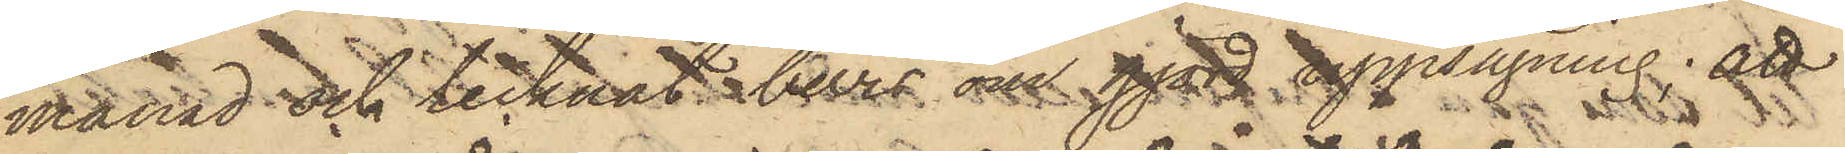månad och tecknat  bevis om gjord uppsägning; att
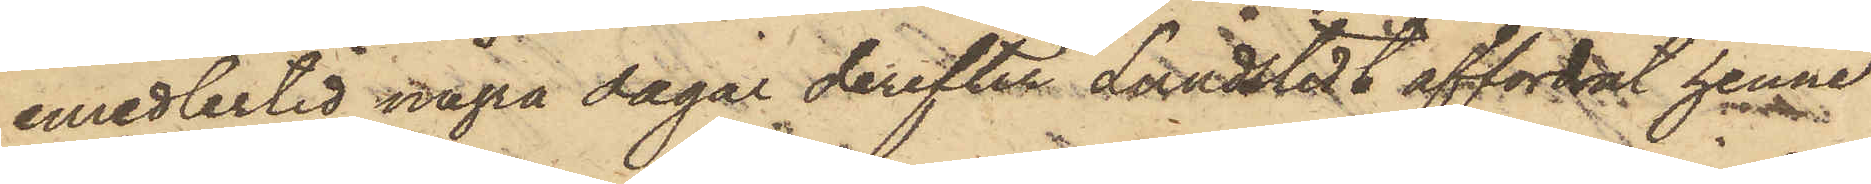emedlertid några dagar derefter Lundstedt affordrat henne
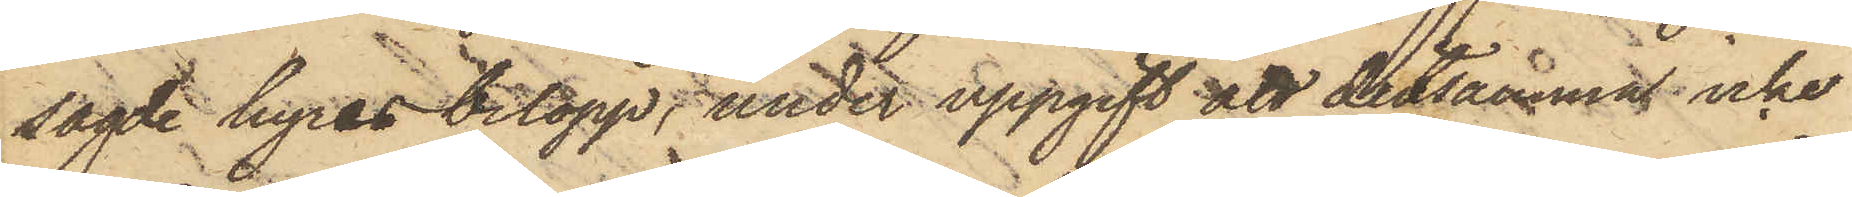sagde hyresbelopp, under uppgift att detsamma icke
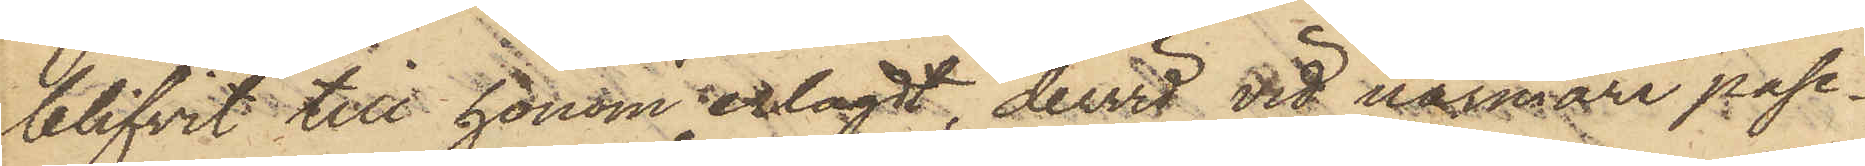blifvit till honom erlagdt, dervid vid närmare påse¬
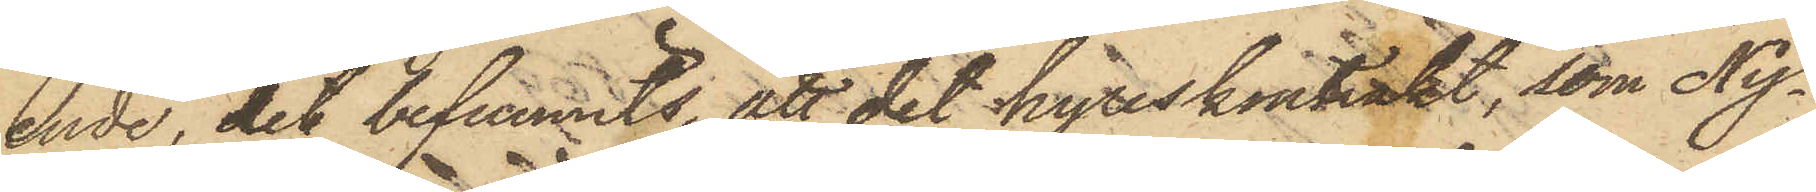ende, det befunnits, att det hyreskontrakt, som Ny¬
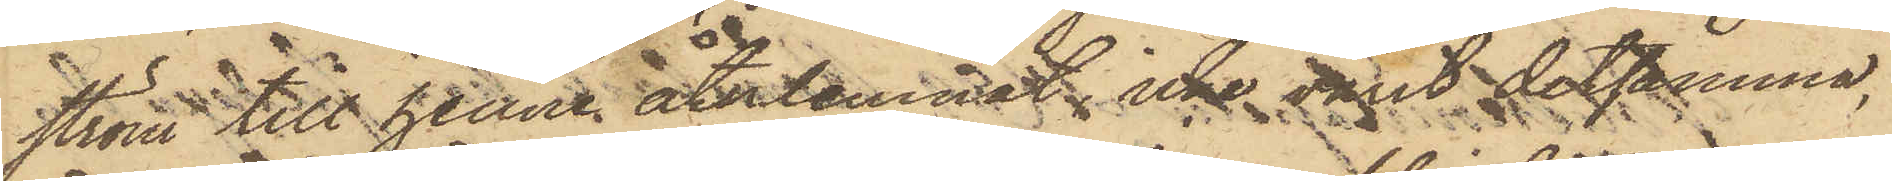ström till henne återlemnat, icke varit detsamma,
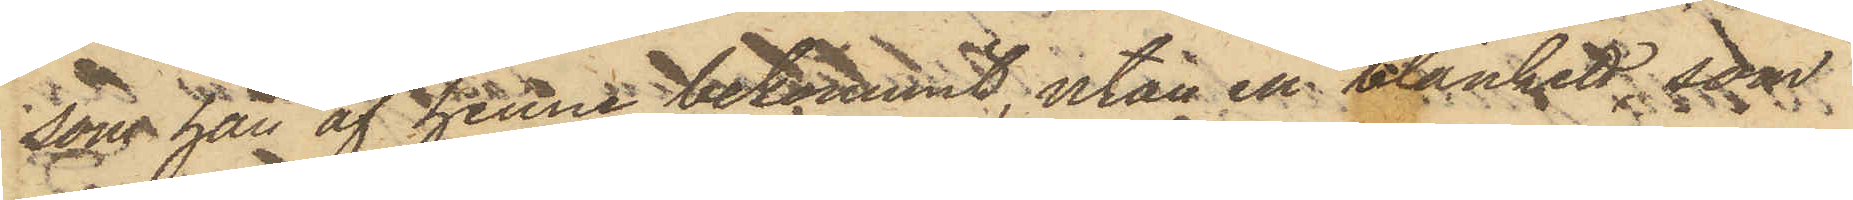som han af henne bekommit, utan en blankett, som
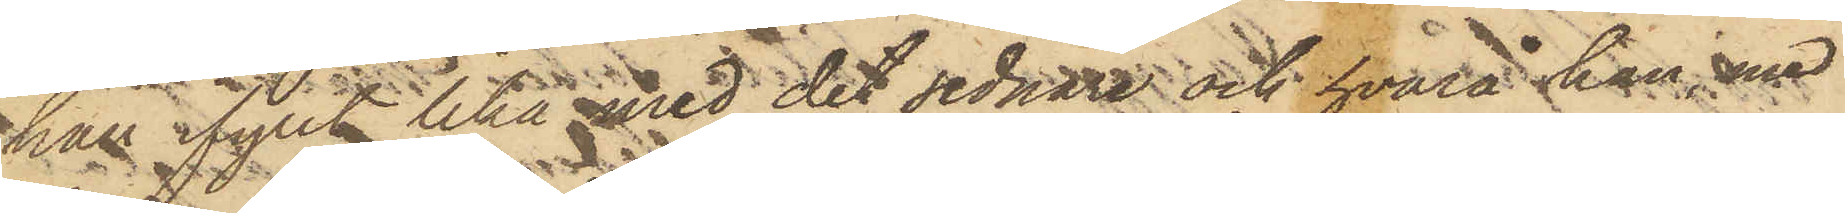han ifyllt lika med det sednare och hvarå han med
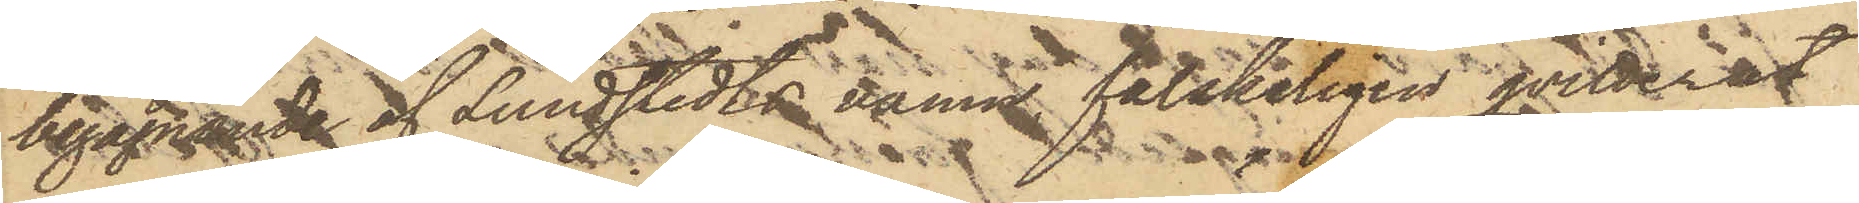begagnande af Lundstedts namn falskeligen qvitterat
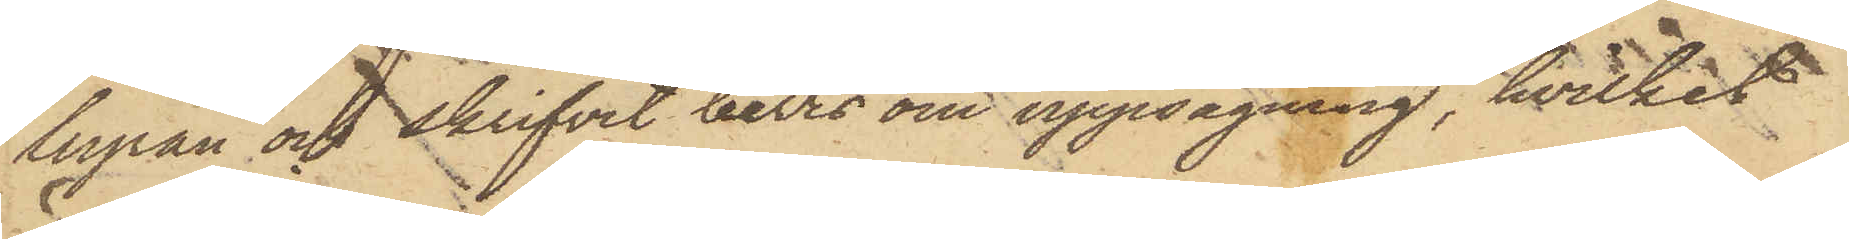hyran och skrifvit bevis om uppsägning, hvilket
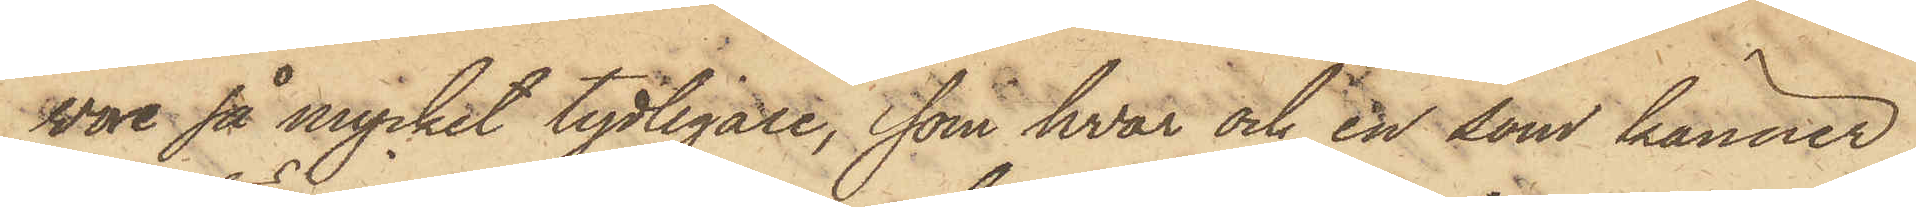wore så mycket tydligare, som hvar och en som känner
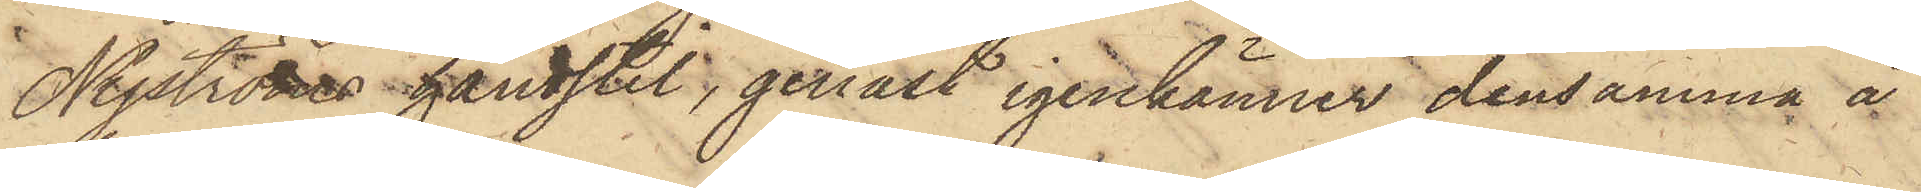Nyströms handstil, genast igenkänner densamma å
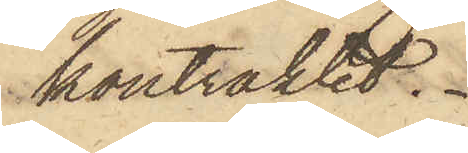kontraktet.
